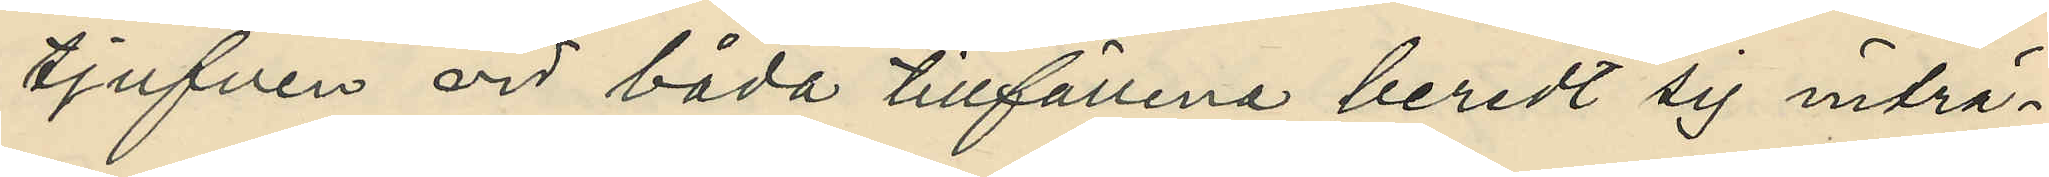tjufven vid båda tillfällena beredt sig inträ¬
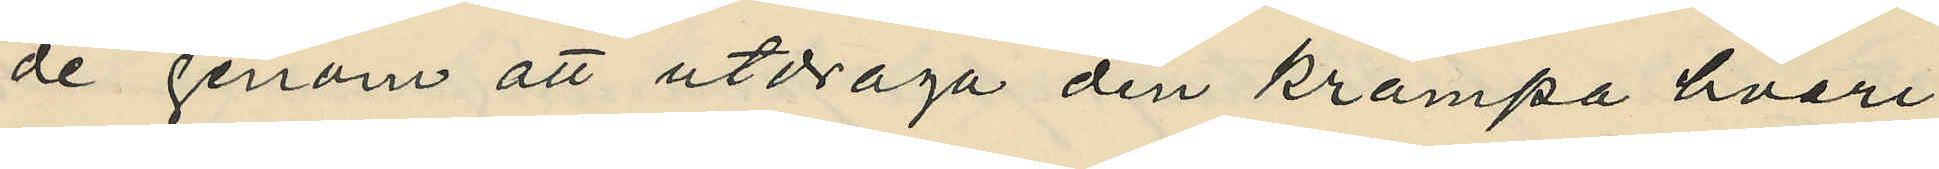de genom att utdraga den krampa hvari
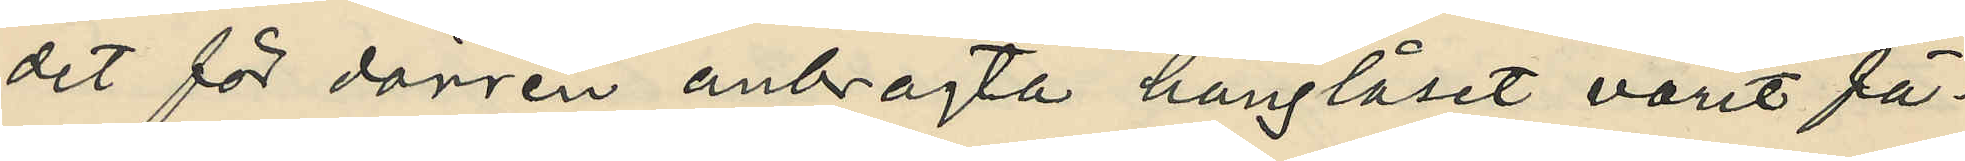det för dörren anbragta hänglåset varit fä¬
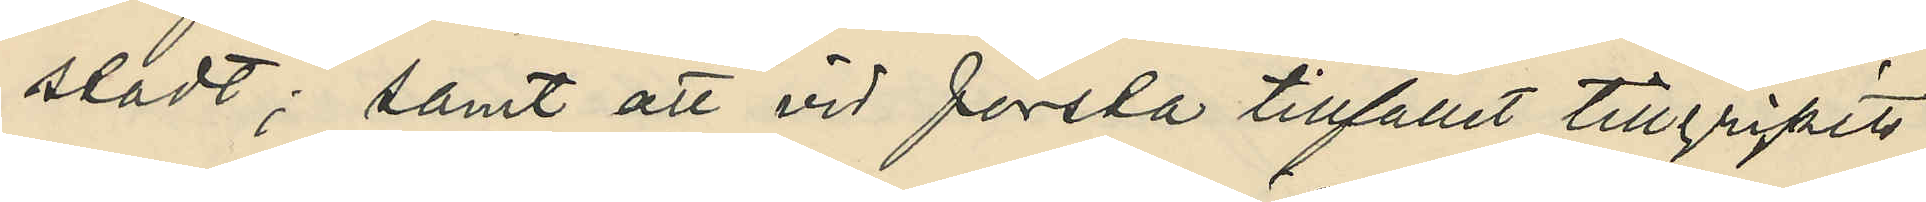stadt; samt att vid första tillfället tillgripits
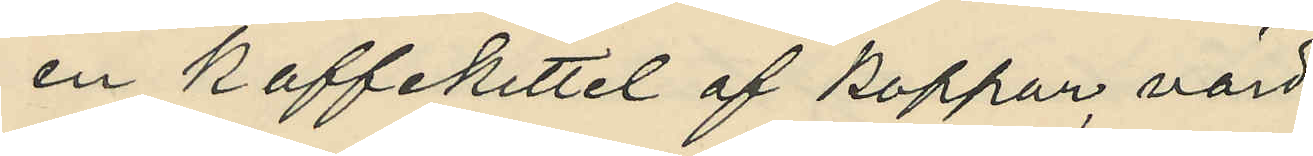en kaffekittel af koppar, värd
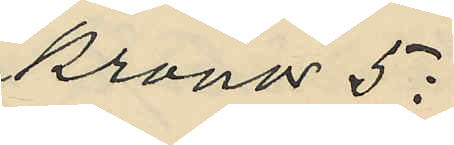kronor 5:
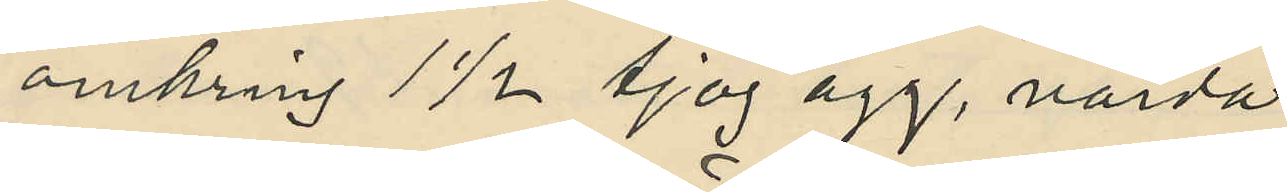omkring 1½ tjog ägg, värda
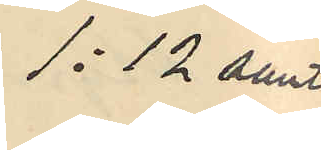1:12 sant
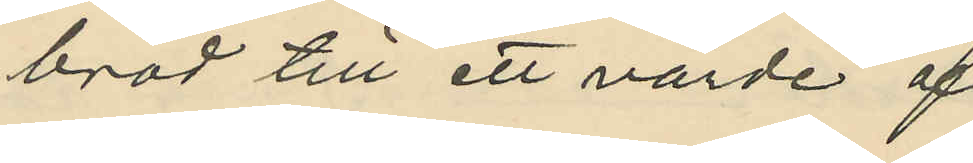bröd till ett värde af
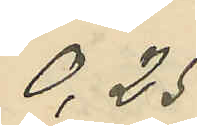0,25
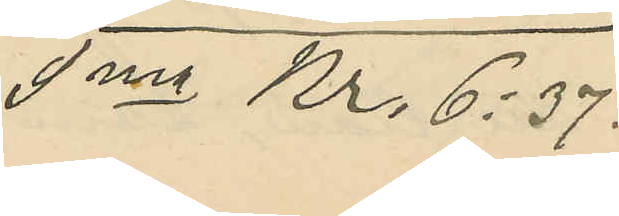Sma kr. 6:37.
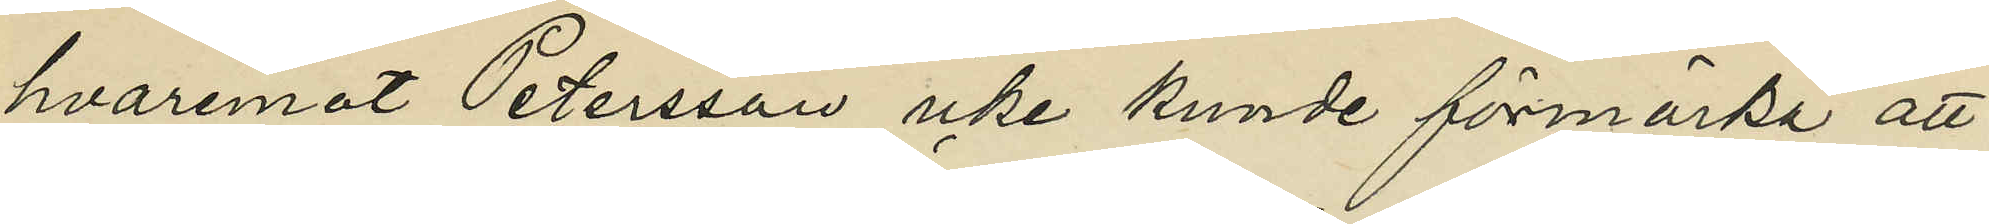hvaremot Petersson icke kunde förmärka att
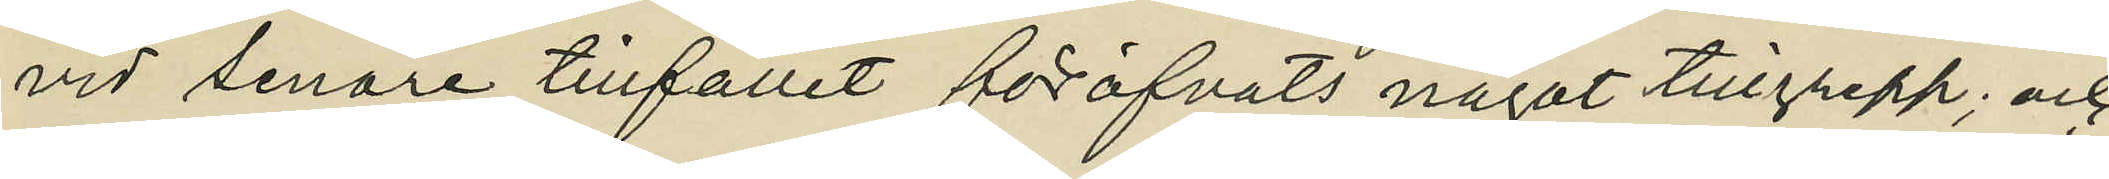vid senare tillfället föröfvats något tillgrepp; och
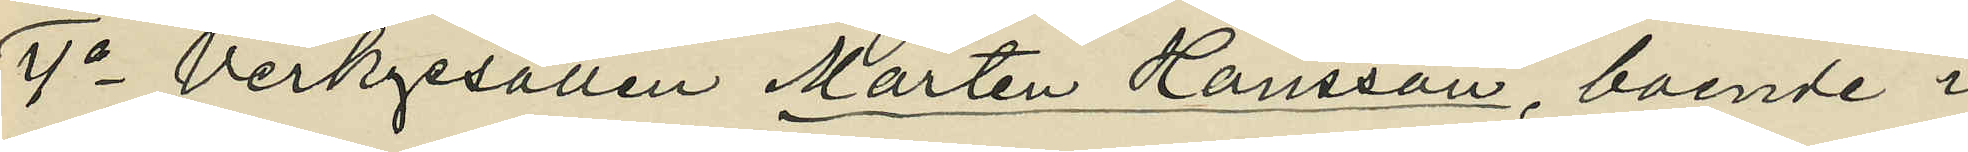4o Verkgesällen Mårten Hansson, boende i
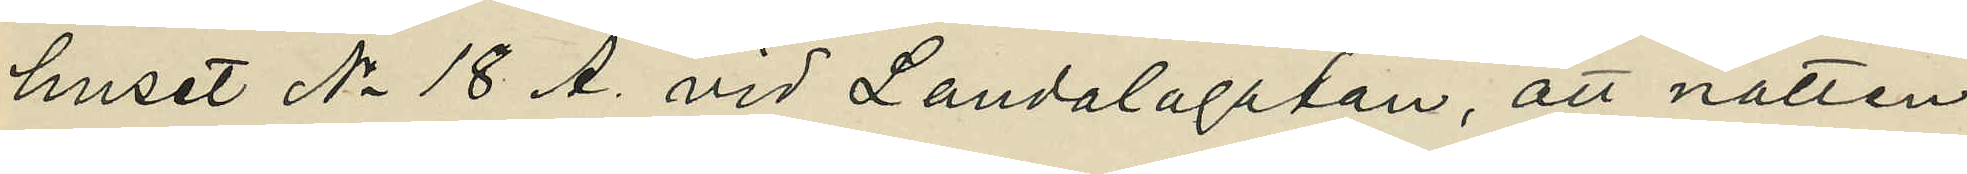huset No 18 A. vid Landalagatan, att natten
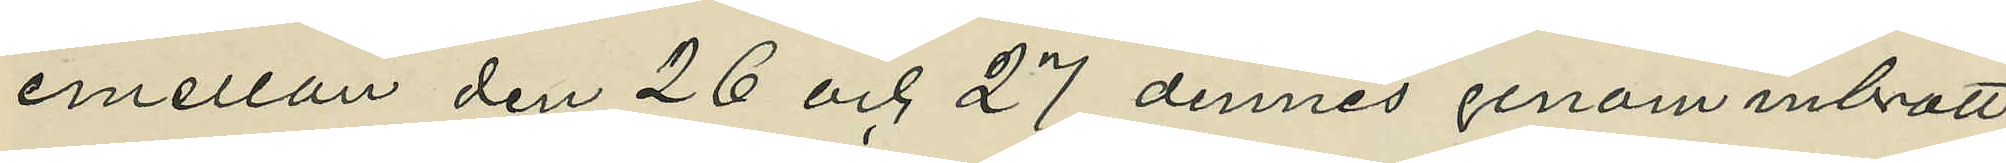emellan den 26 och 27 dennes genom inbrott
